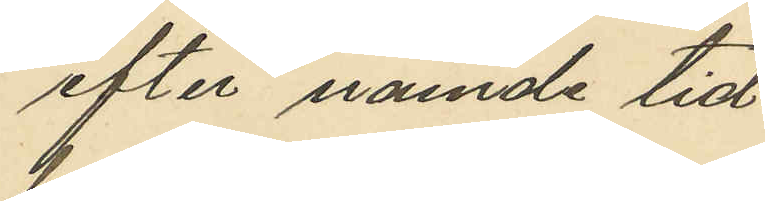efter månads tid
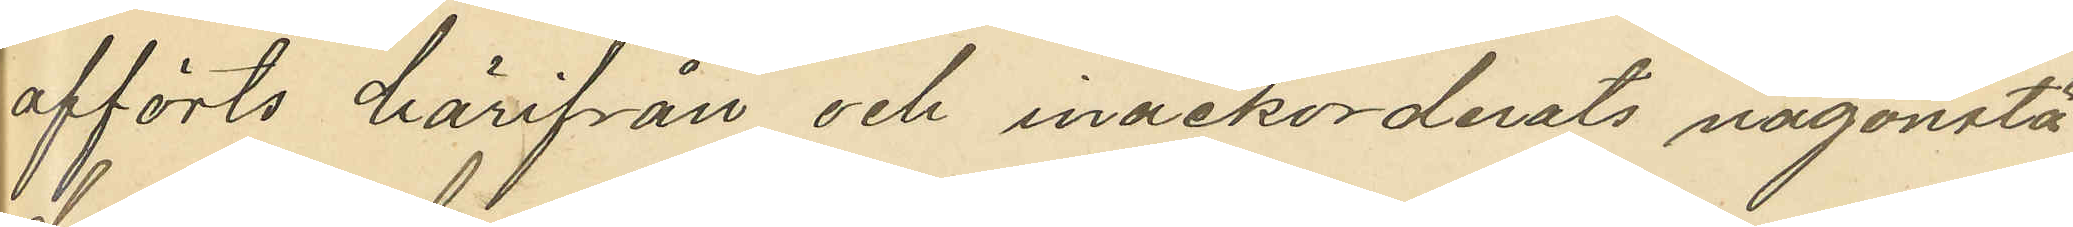afförts härifrån och inackorderats någonstä¬
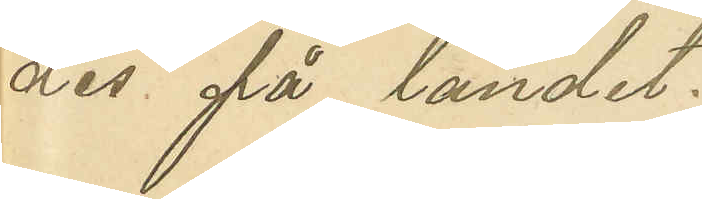des på landet.
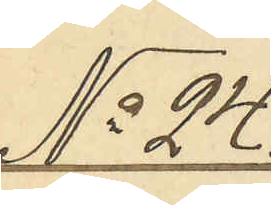No 24.
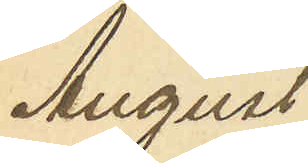August
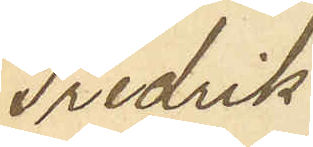Fredrik
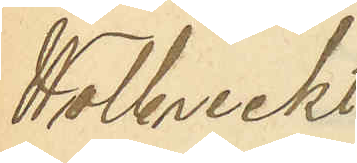Wolbreckt.
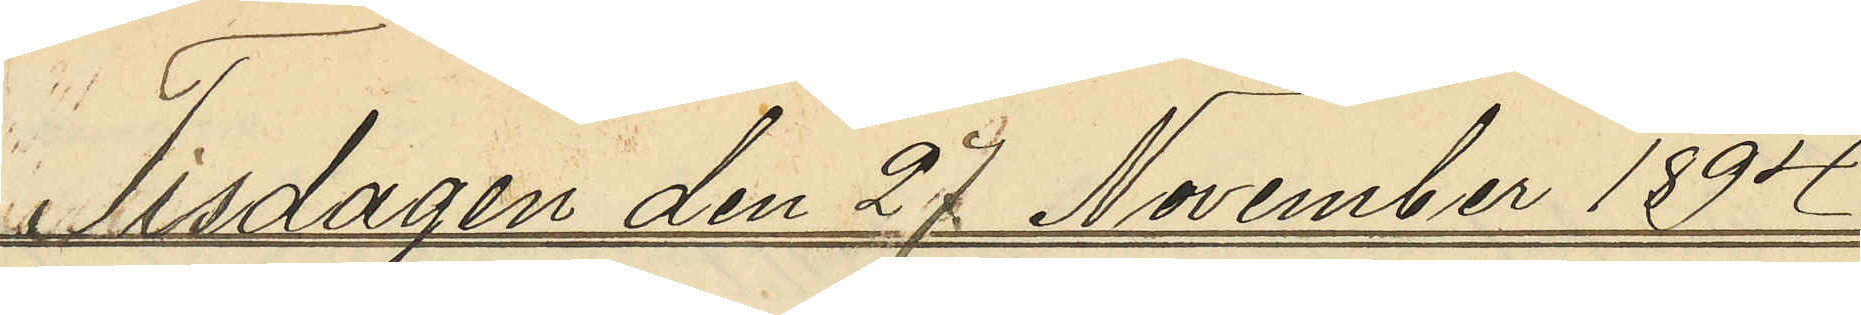Tisdagen den 27 November 1894
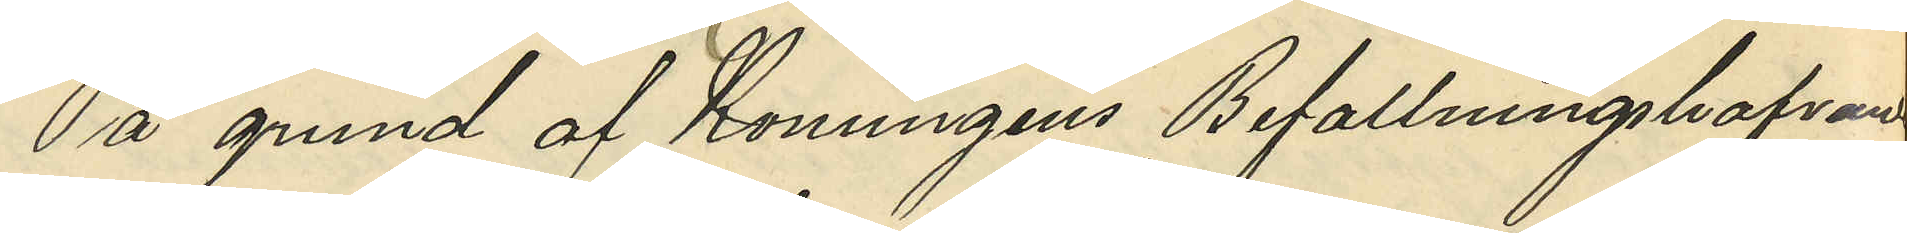På grund af Konungens Befallningshafvandes
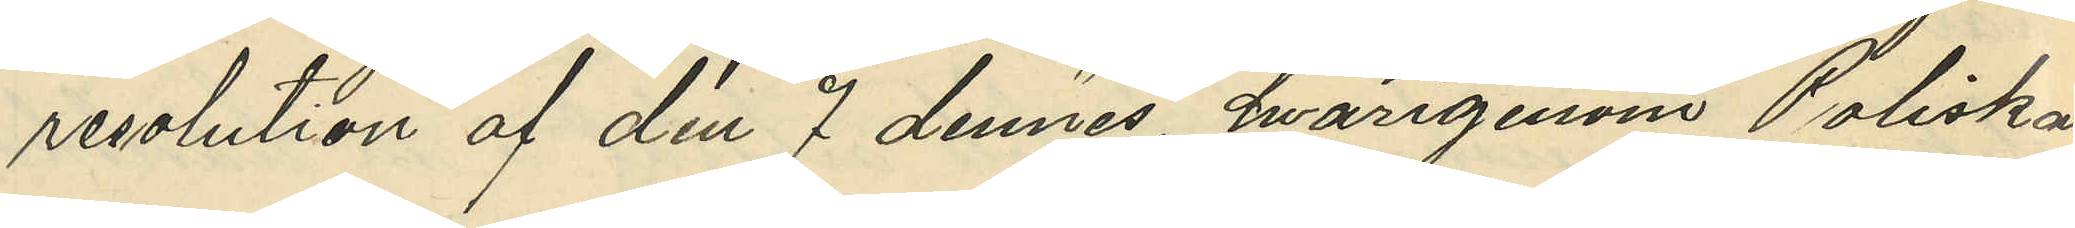resolution af den 7 dennes, hvarigenom Poliskam¬
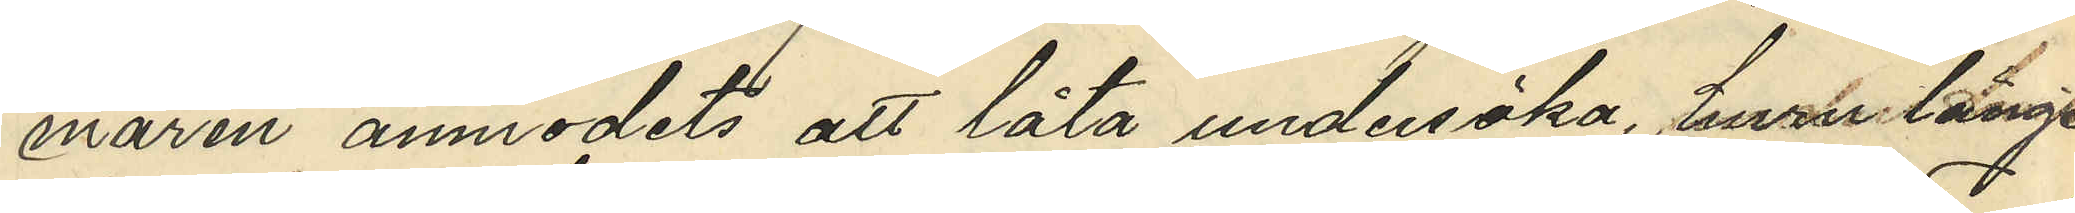maren anmodats att låta undersöka, huru länge
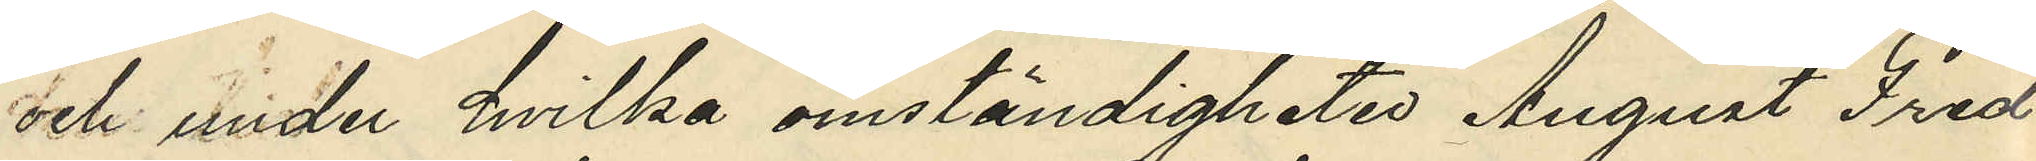och under hvilka omständigheter August Fred¬
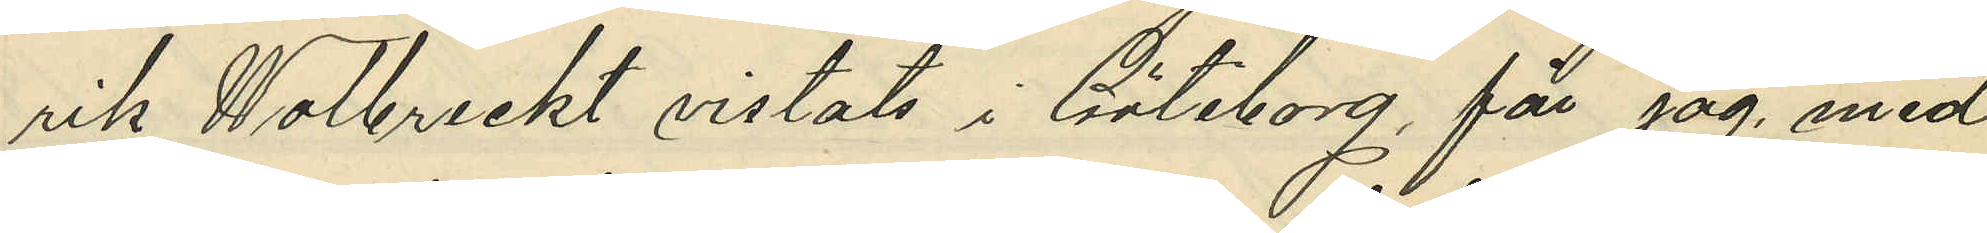rik Wolbreckt vistats i Göteborg, får jag med
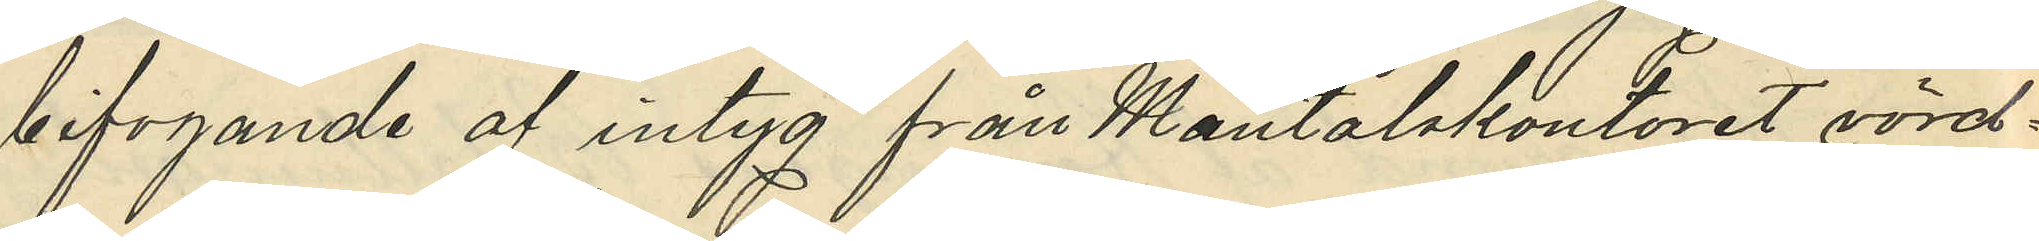bifogande af intyg från Mantalskontoret vörd¬
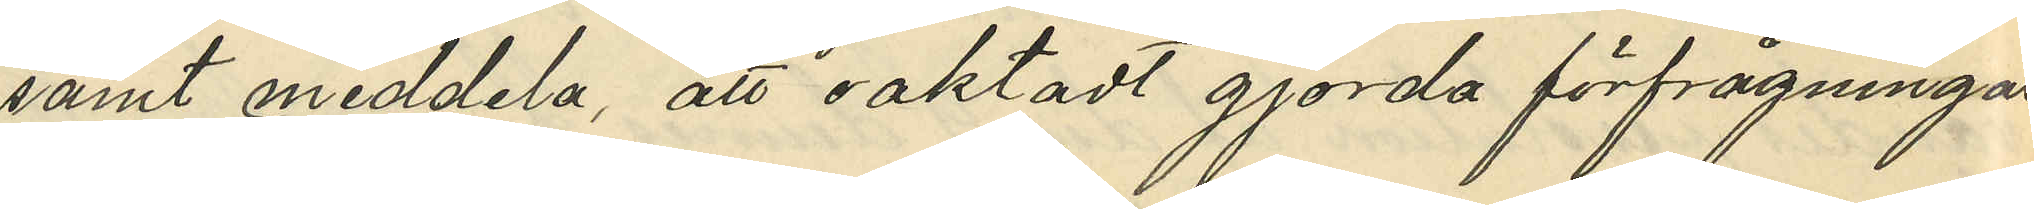samt meddela, att oaktadt gjorda förfrågningar
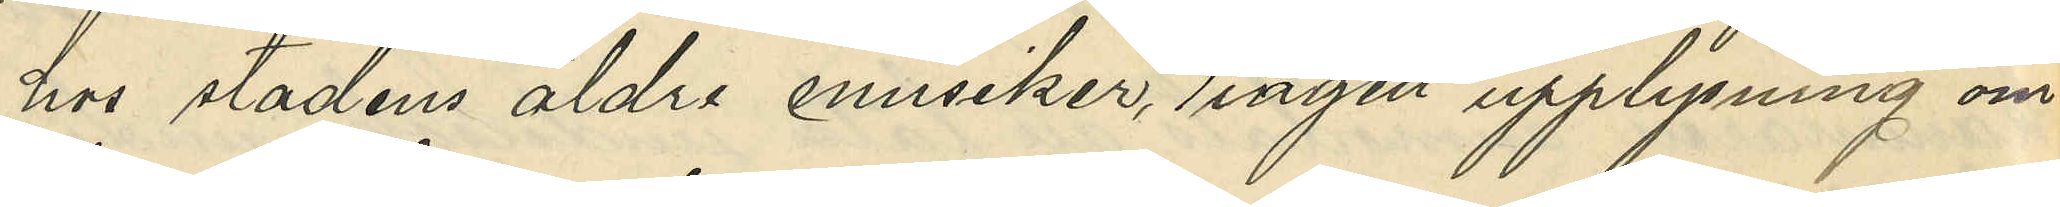hos stadens äldre musiker, någon upplysning om
